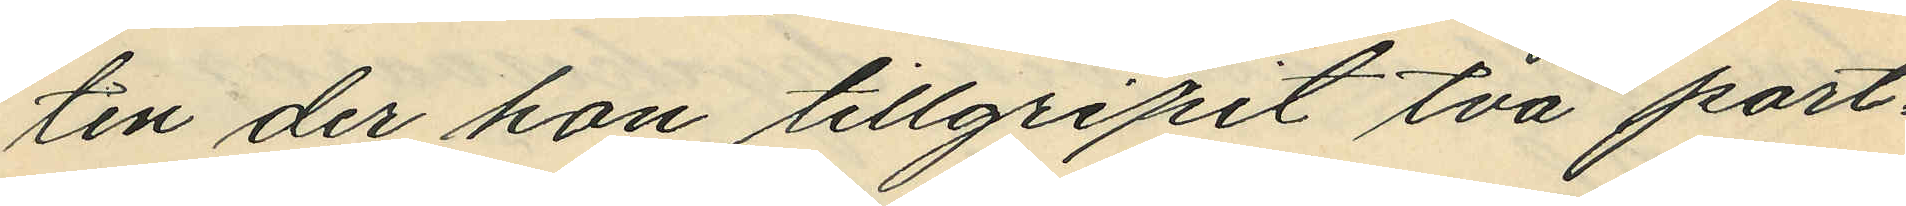ten der han tillgripit två port¬
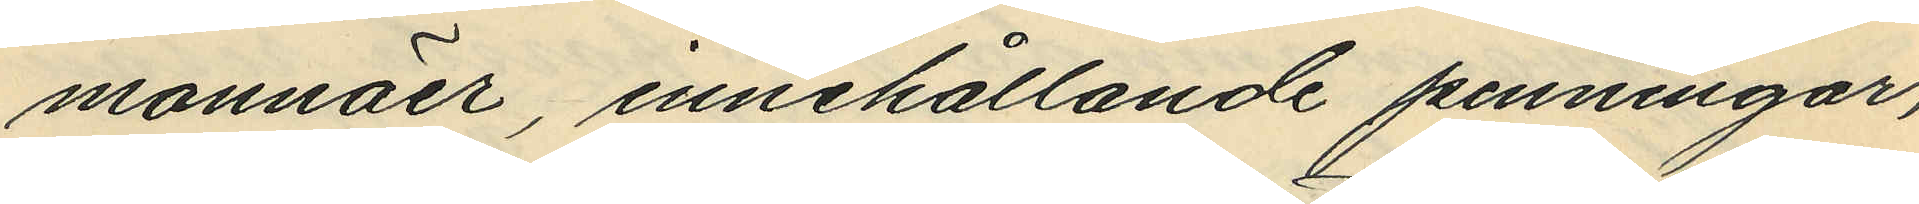monnäer, innehållande penningar,
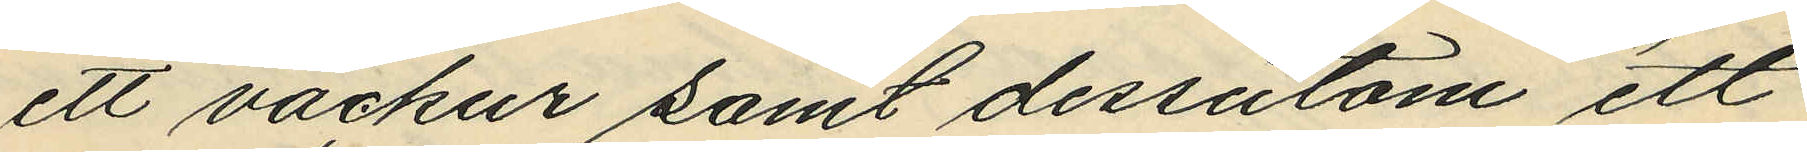ett väckur samt dessatom ett
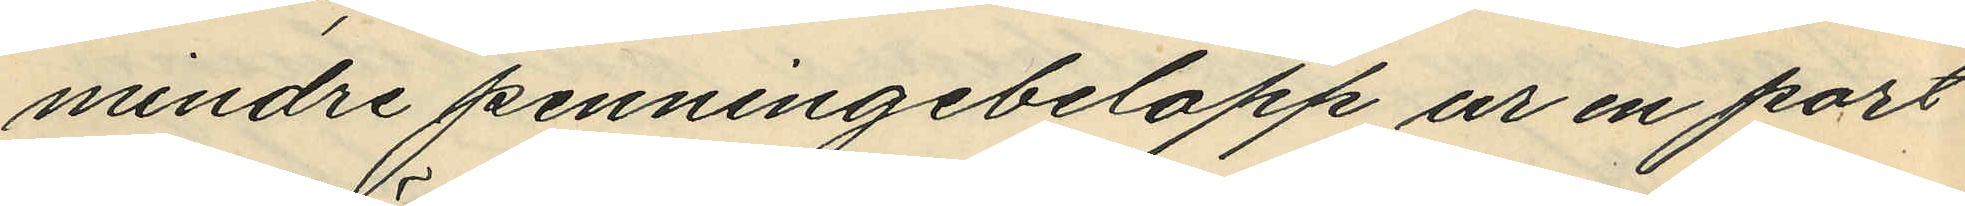mindre penningebelopp ur en port¬
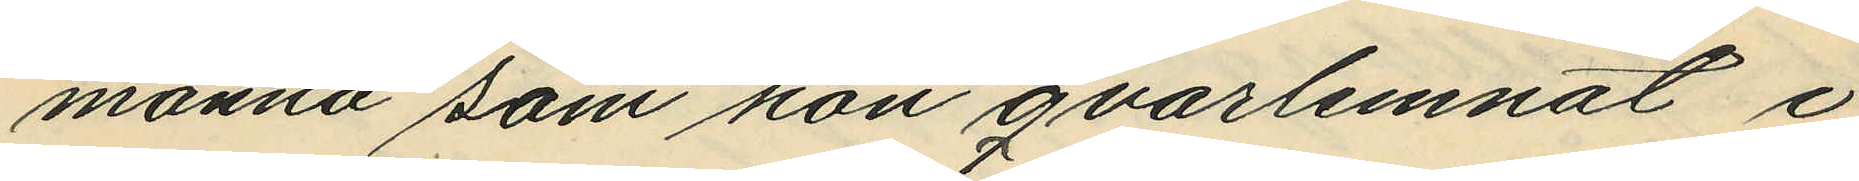monnä som han qvarlemnat i
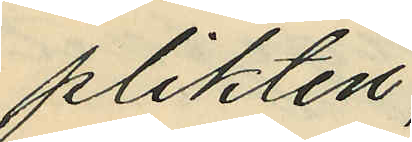plikten,
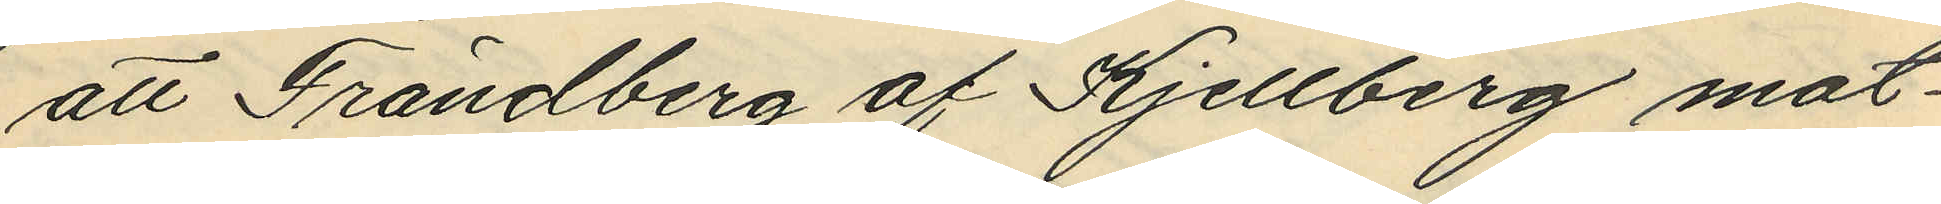att Frändberg af Kjellberg mot¬
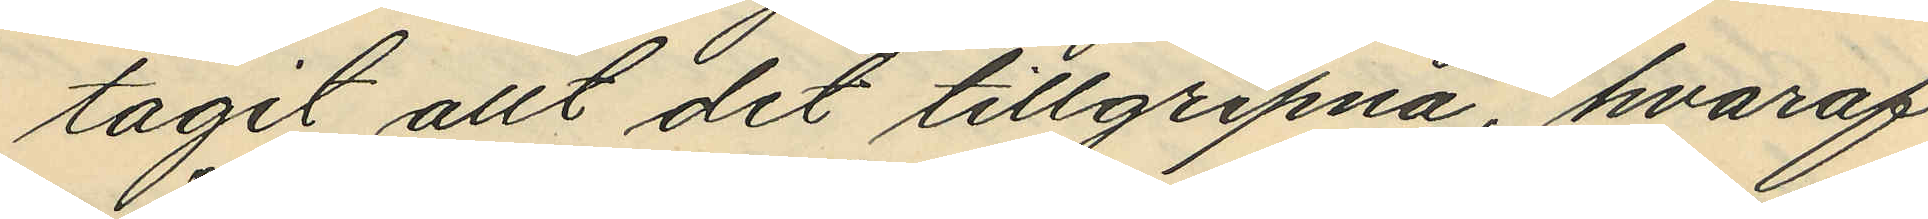tagit allt det tillgripna, hvaraf
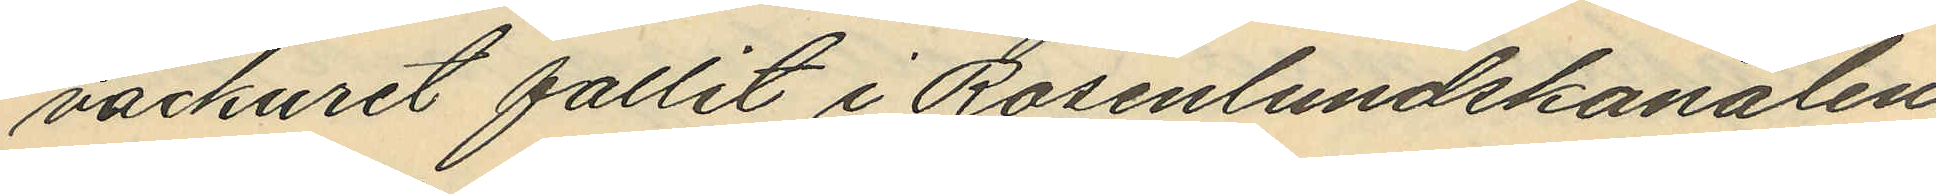väckuret fallit i Rosenlundskanalen,
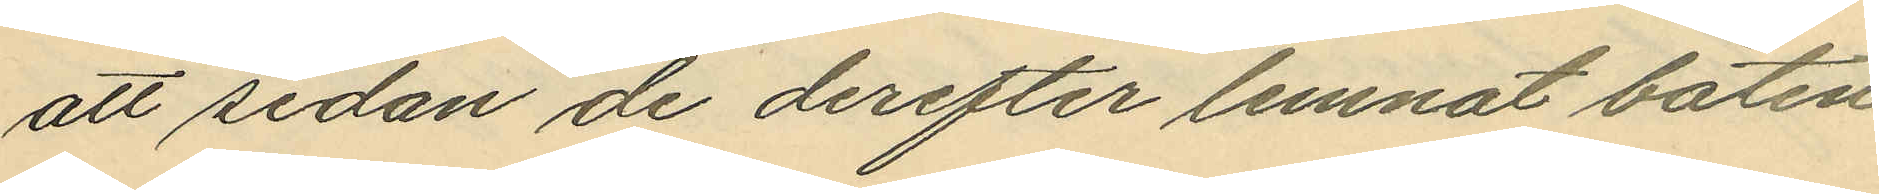att sedan de derefter lemnat båten
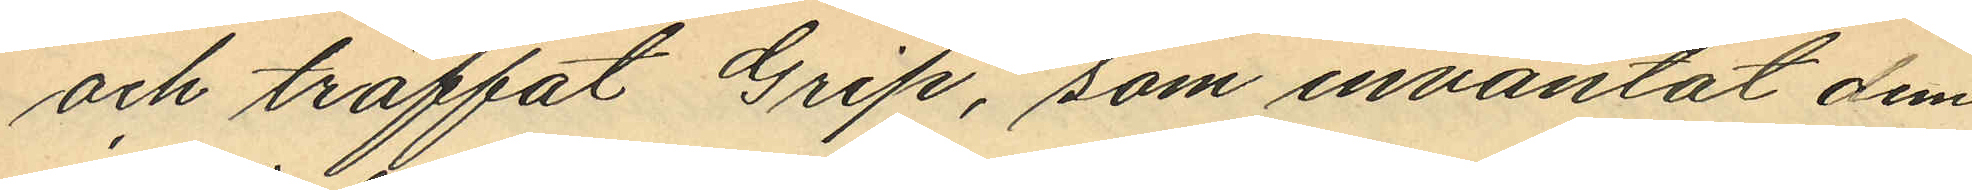och träffat Grip, som inväntat dem
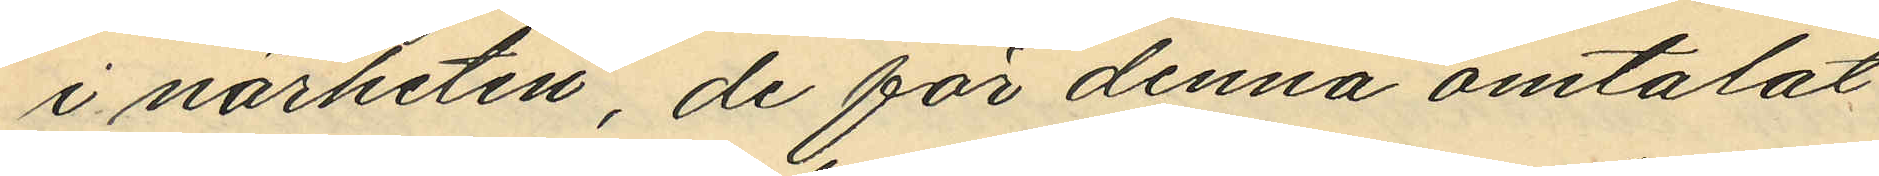i närheten, de för denna omtalat
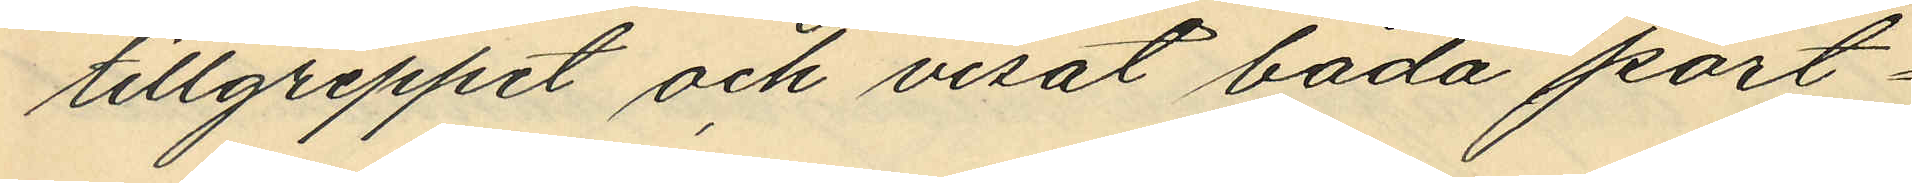tillgreppet och visat båda port¬
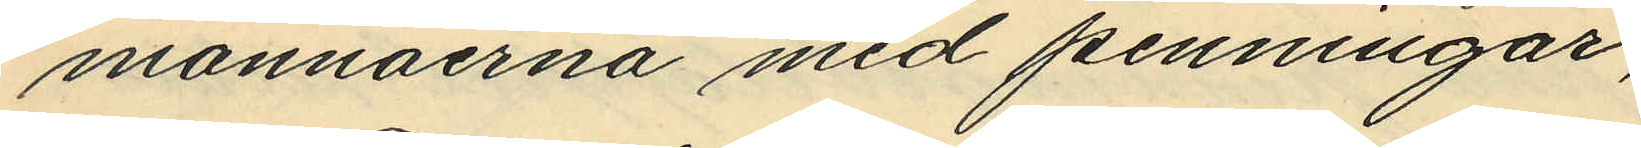monnäerna med penningar;
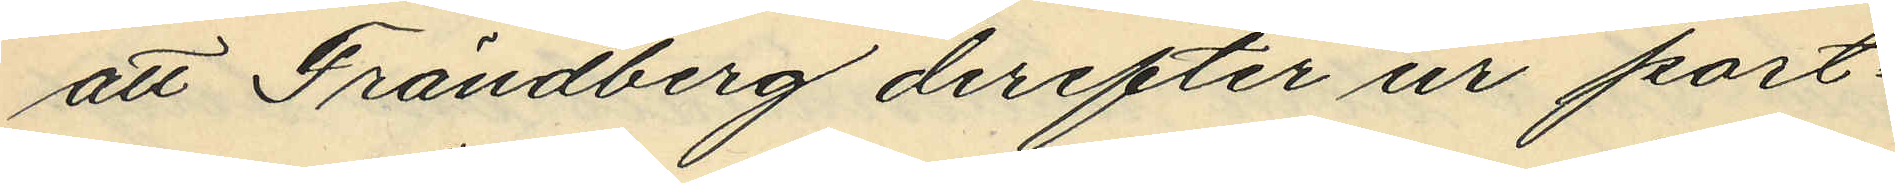att Frändberg derefter ur port¬
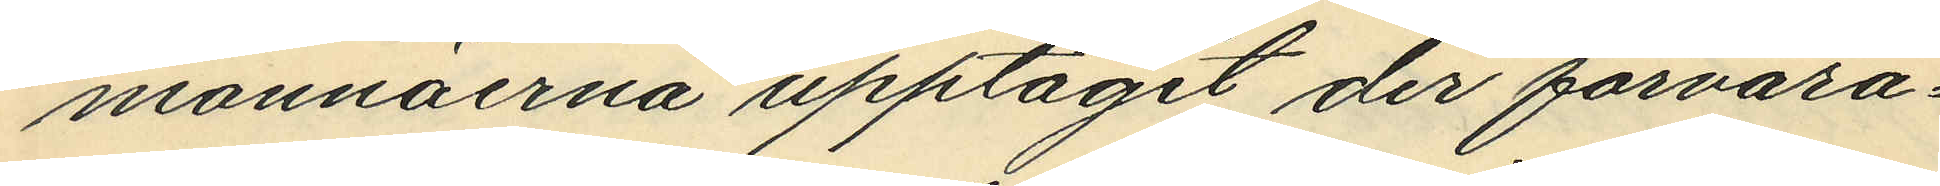monnäerna upptagit der förvara¬
